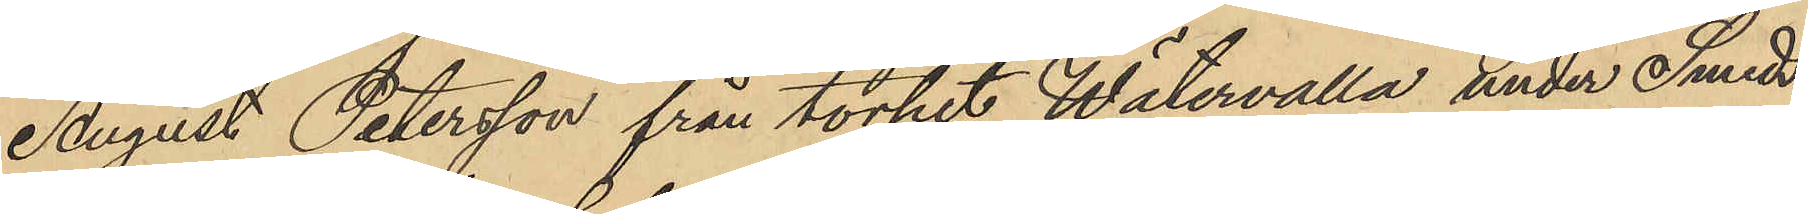August Petersson från torpet Wätervalla under Smeds¬
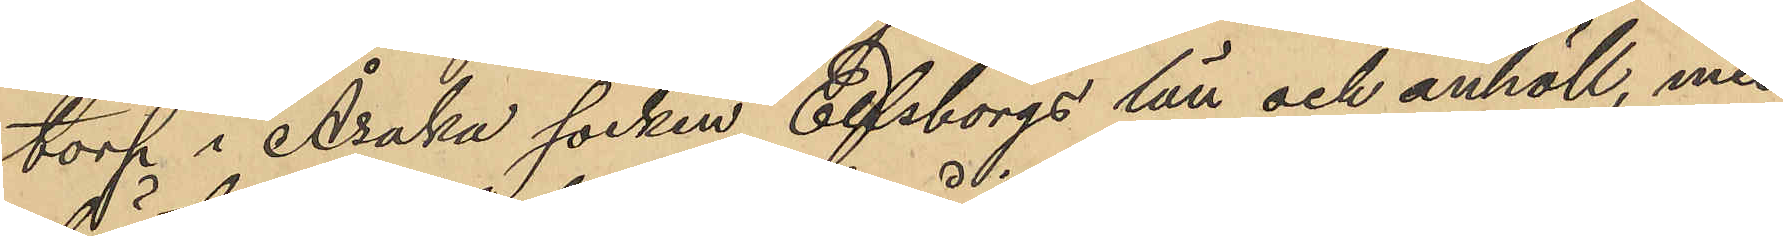torp i Åsaka socken Elfsborgs län och anhöll, med
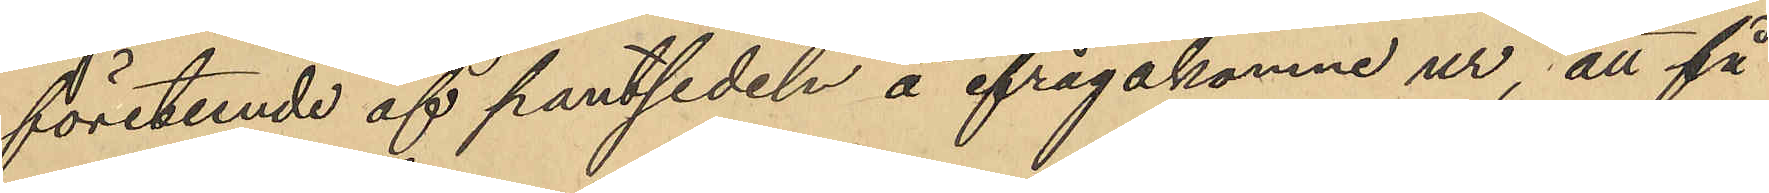företende af pantsedeln å ifrågakomne ur, att få
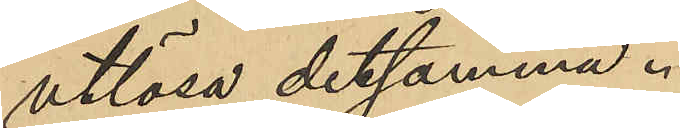utlösa detsamma.
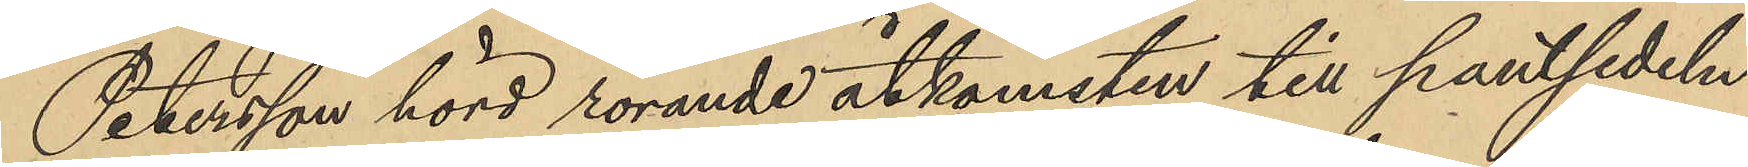Petersson hörd rörande åtkomsten till pantsedeln
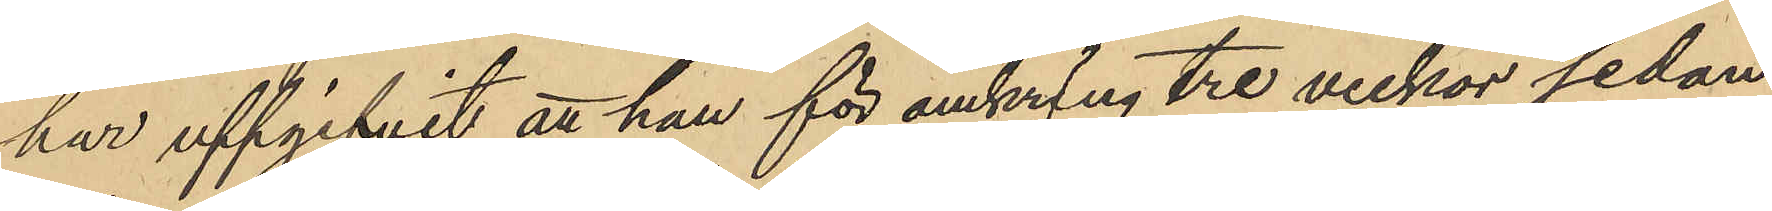har uppgifvit att han för omkring tre veckor sedan
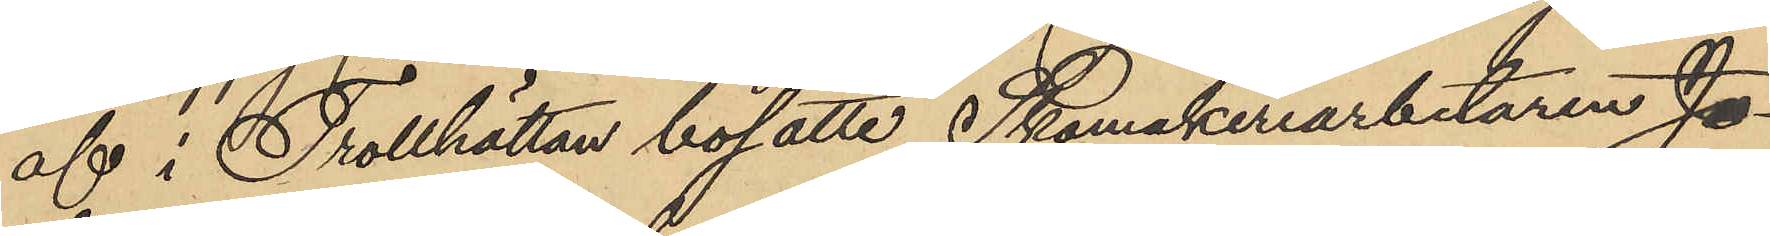af i Trollhättan bosatte Skomakeriarbetaren Jo¬
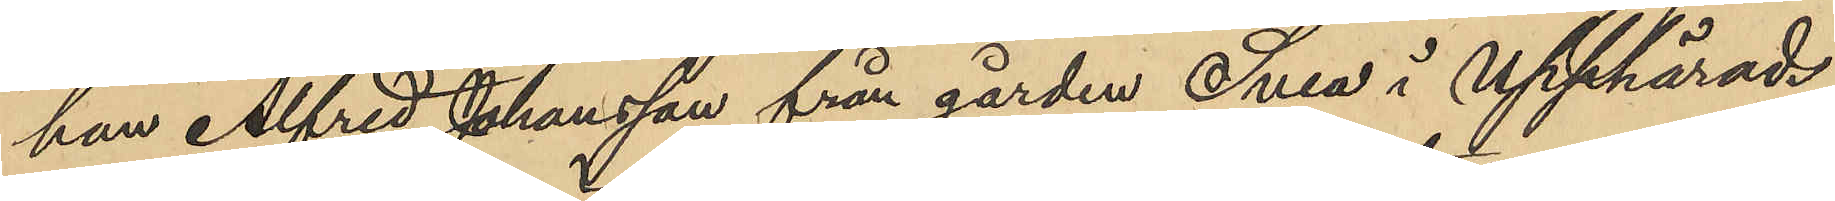han Alfred Johansson från gården Svea i Upphärads
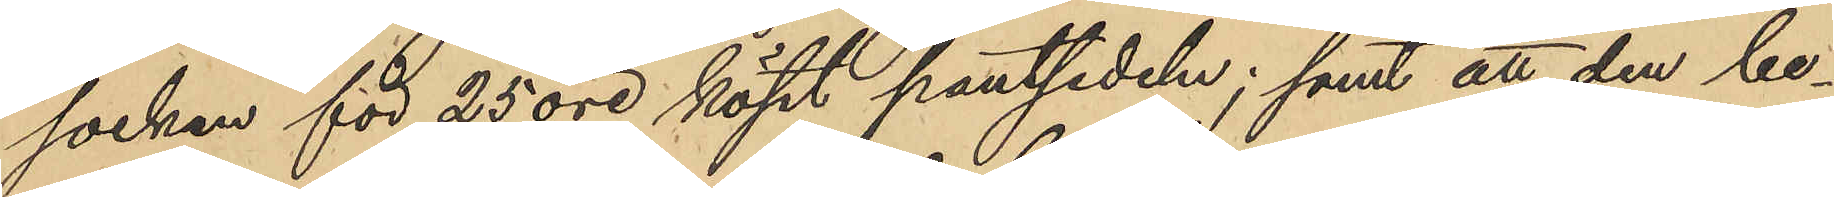socken för 25 öre köpt pantsedeln; samt att den be¬
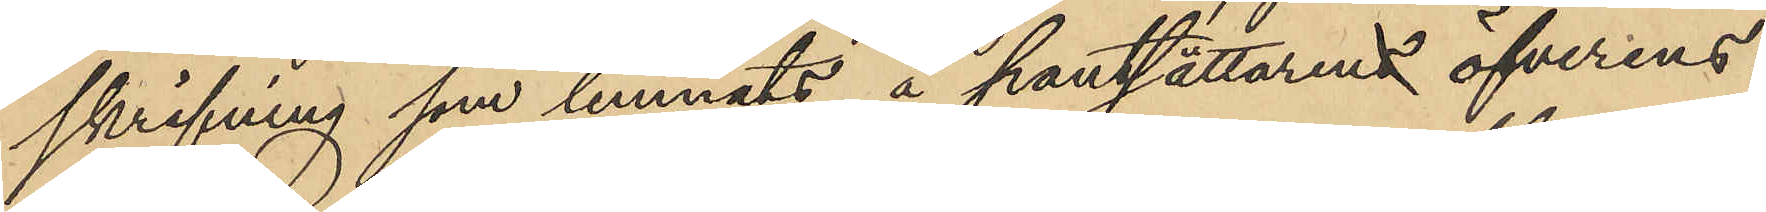skrifning som lemnats å pantsättaren öfverens¬
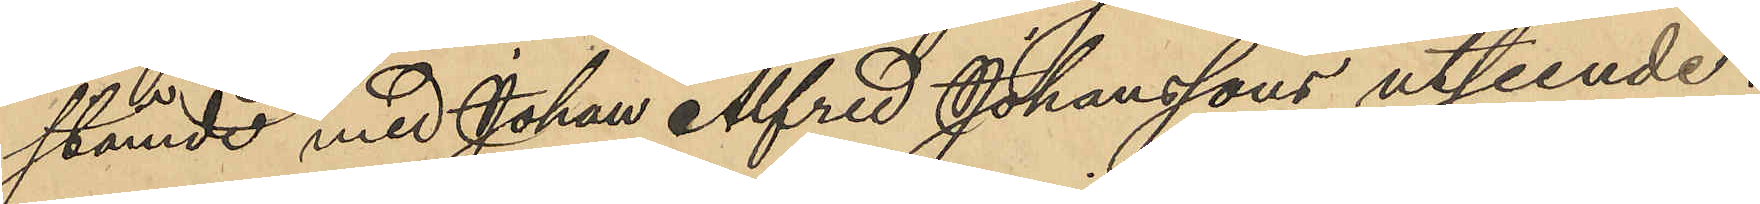stämde med Johan Alfred Johanssons utseende;
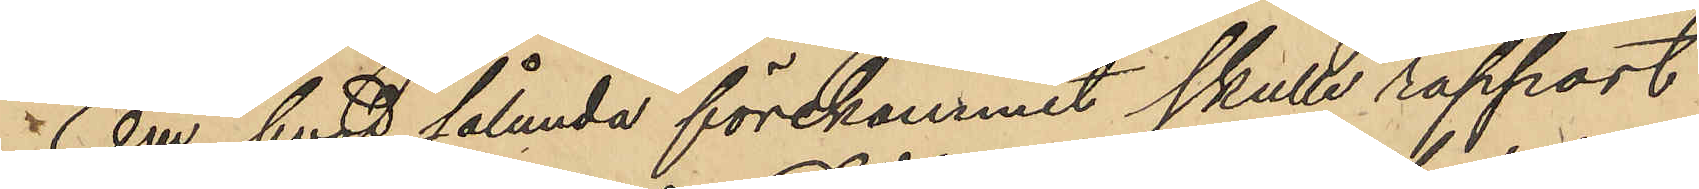Om hvad sålunda förekommit skulle rapport
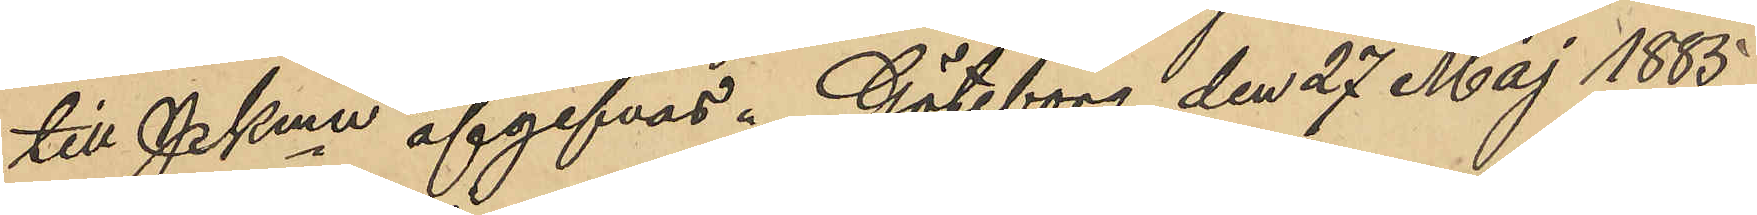till PKmn afgifvas. Göteborg den 27 Maj 1885.
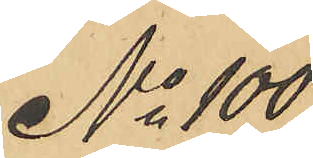No 100
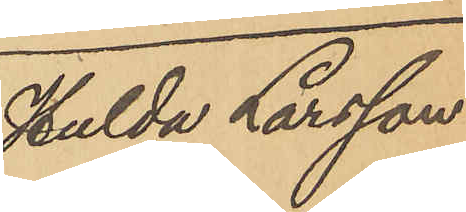Hulda Larsson
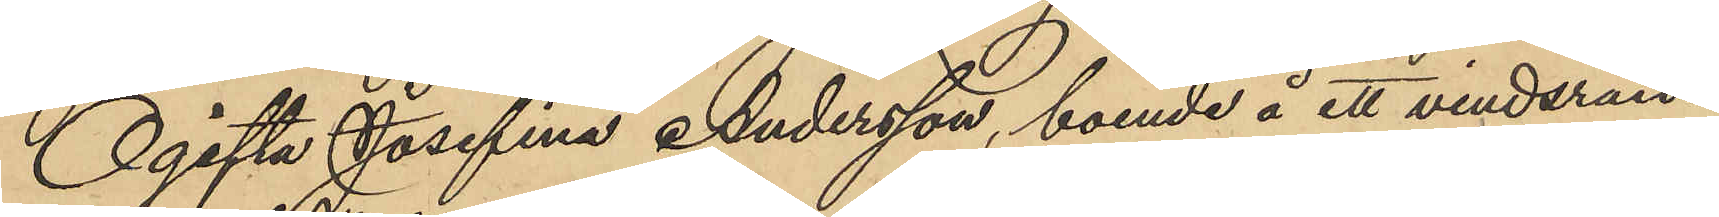Ogifta Josefina Andersson, boende å ett vindsrum
